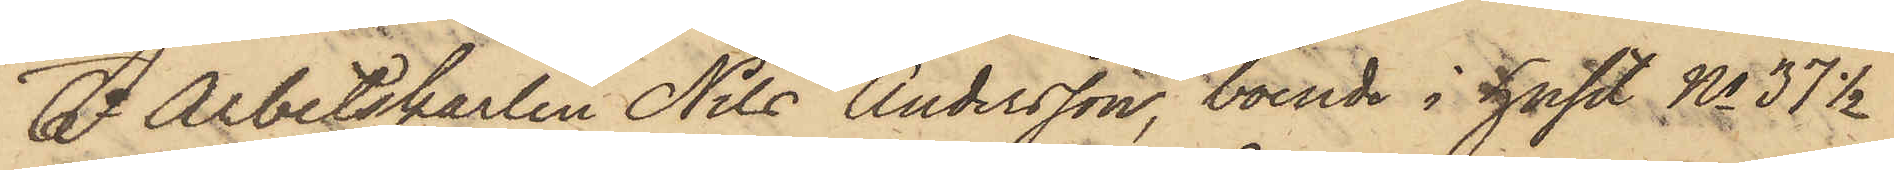6o Arbetskarlen Nils Andersson, boende i huset No 37 1/2
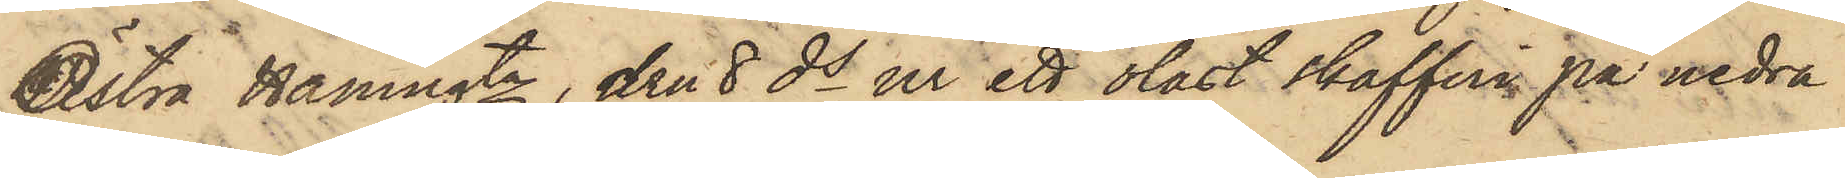Östra Hamngtn, den 8 ds ur ett olåst skafferi på nedra
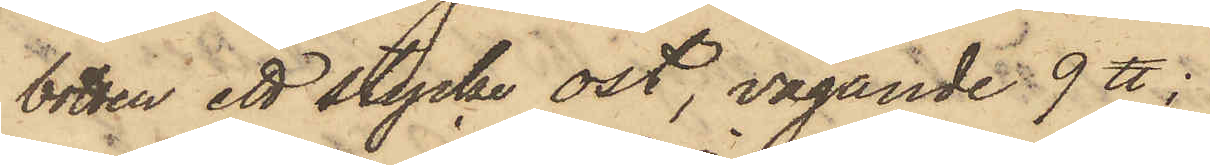botten ett stycke ost, vägande 9 ℔;
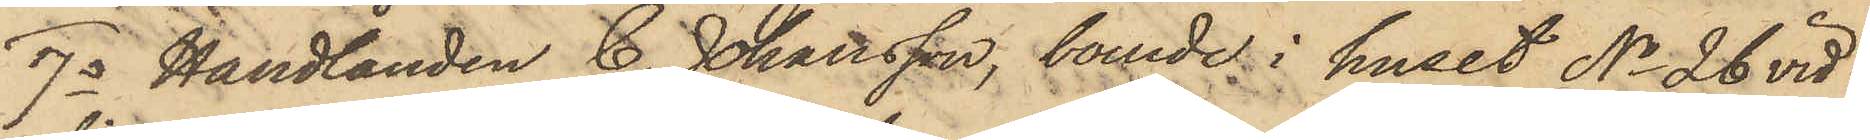7o Handlanden C. Johansson, boende i huset No 26 vid
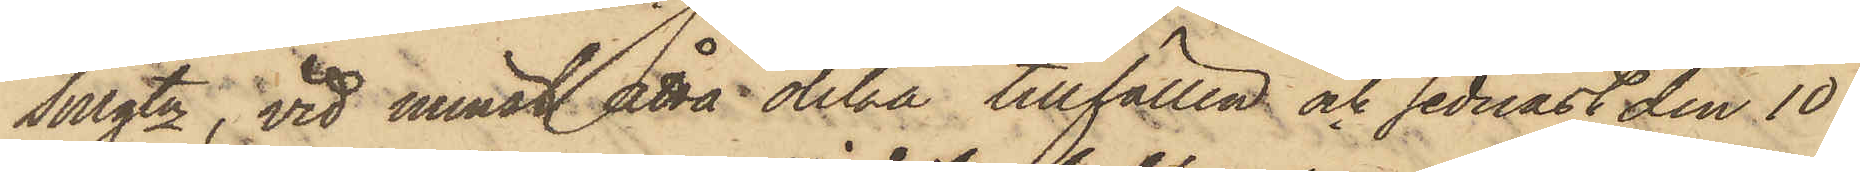Sillgtn, vid minst åtta olika tillfällen och sednast den 10
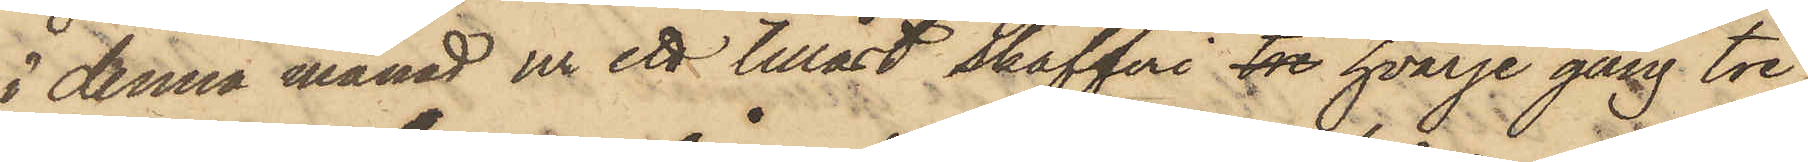i denna månad ur ett tillåst skafferi tre hvarje gång tre
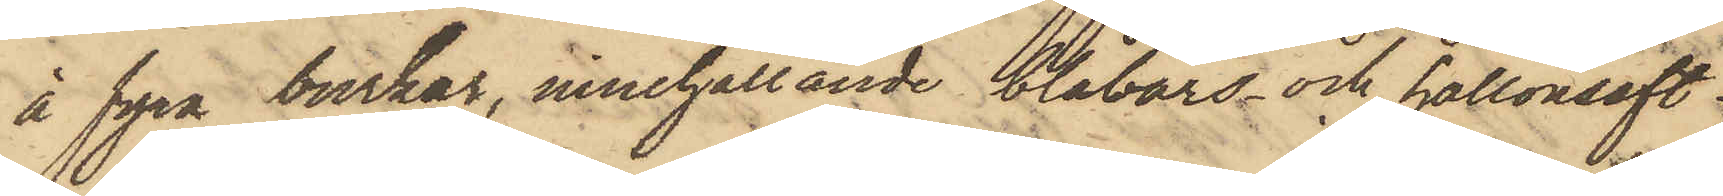à fyra byrkar, innehållande blåbärs och hallonsaft
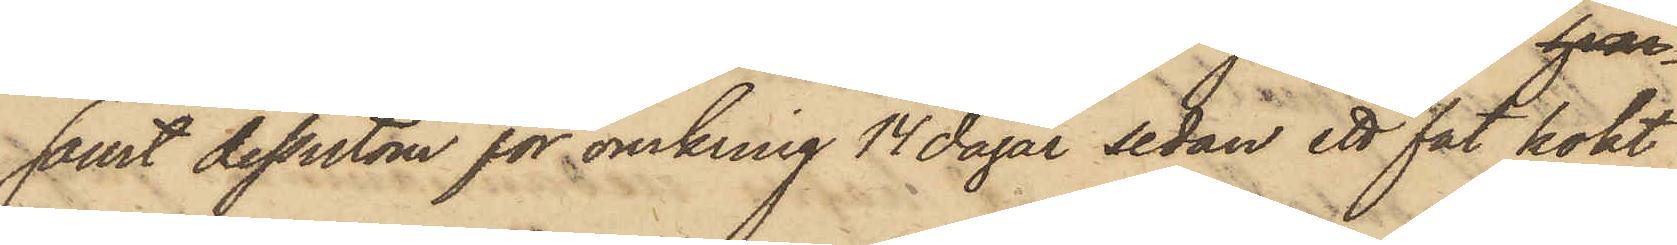samt dessutom för omkring 14 dagar sedan ett fat kokt
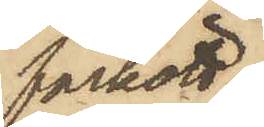fårkött;
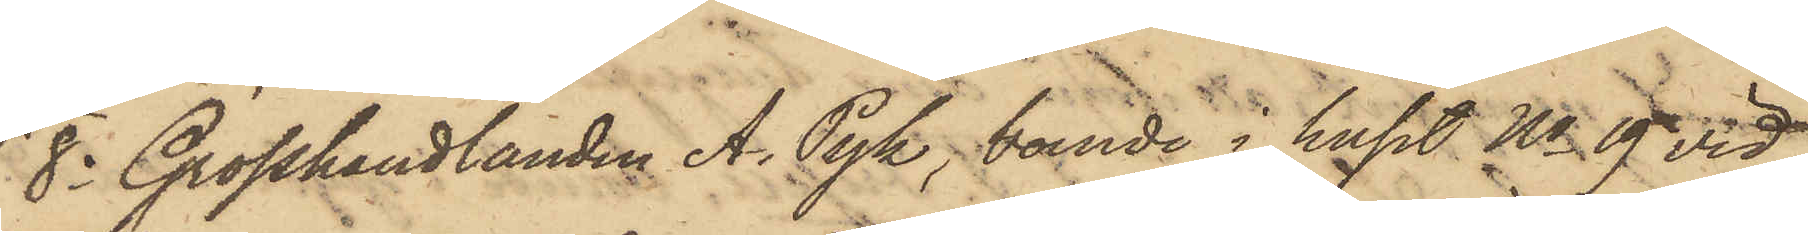8o Grosshandlanden A. Pyk, boende i huset No 19 vid
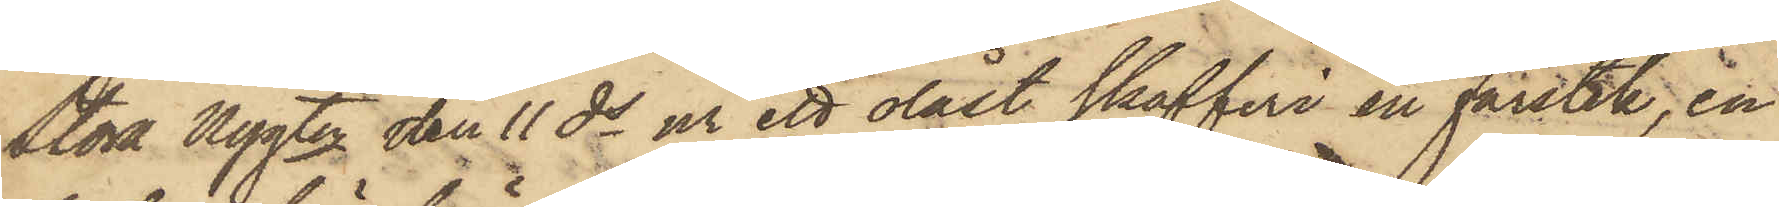Stora Nygtn den 11 ds ur ett olåst skafferi en fårstek, en
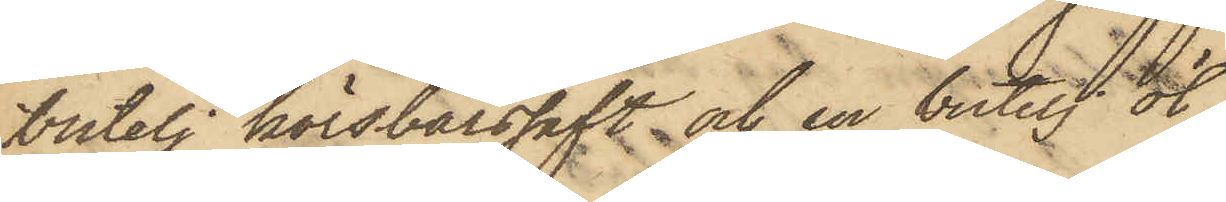butelj körsbärssaft och en butelj öl.
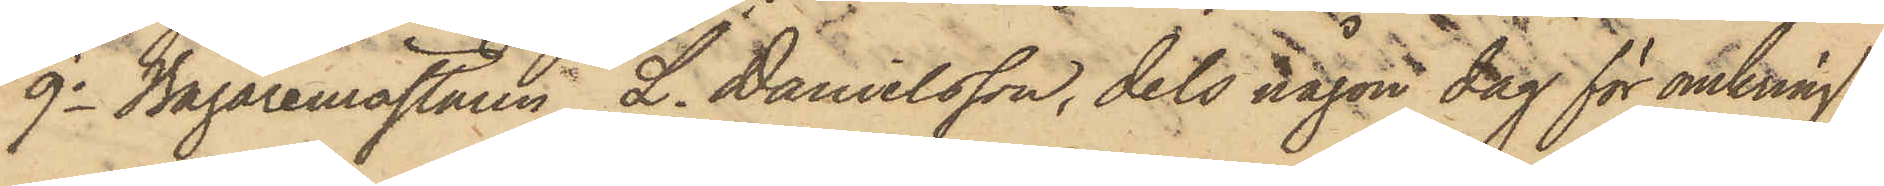9o Bagaremästaren L. Danielsson, dels någon dag för omkring
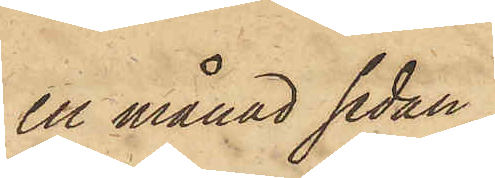en månad sedan
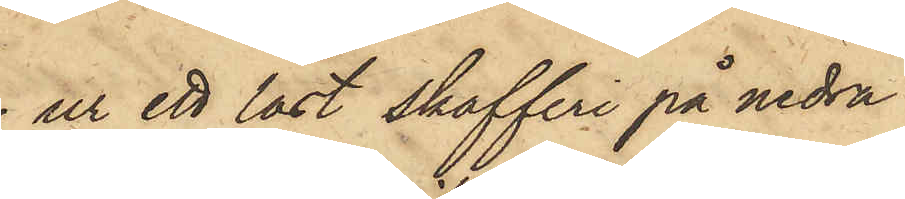ur ett låst skafferi på nedra
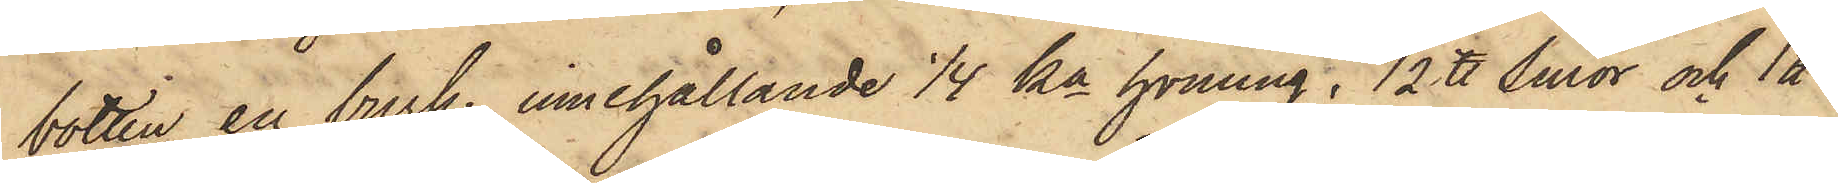botten en burk, innehållande 1/4 ka honung, 1/2 ℔ smör och 1 ℔
